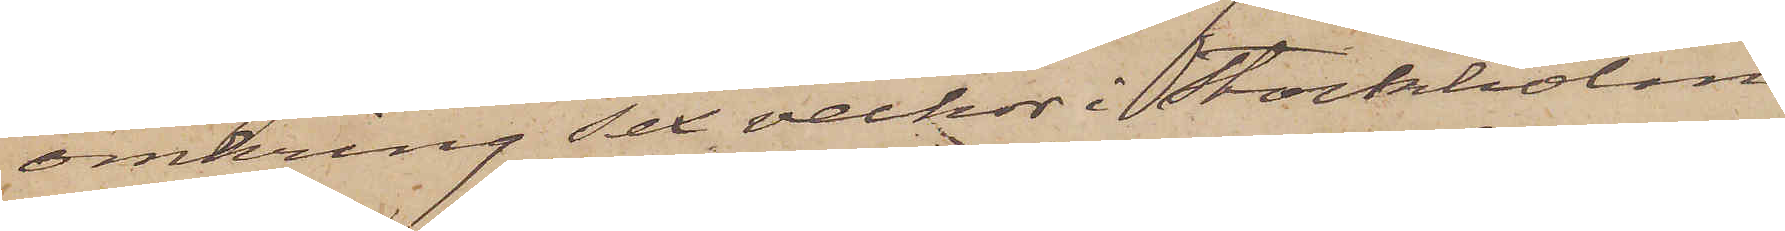omkring sex veckor i Stockholm
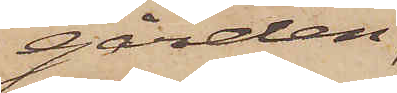gården
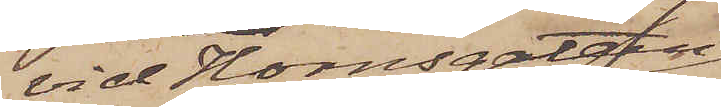vid Hornsgatan
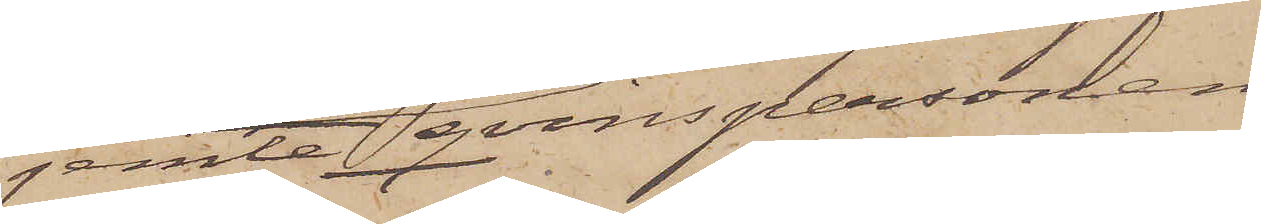jemte qvinspersonen
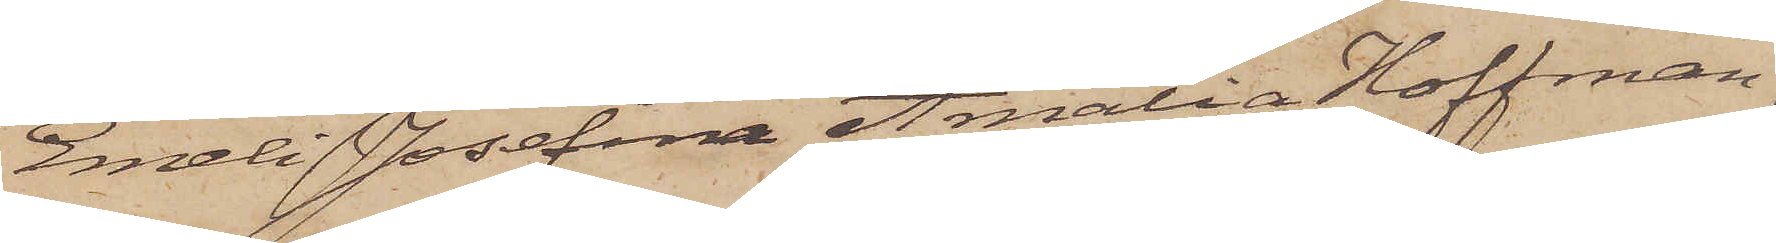Emeli Josefina Amalia Hoffman,
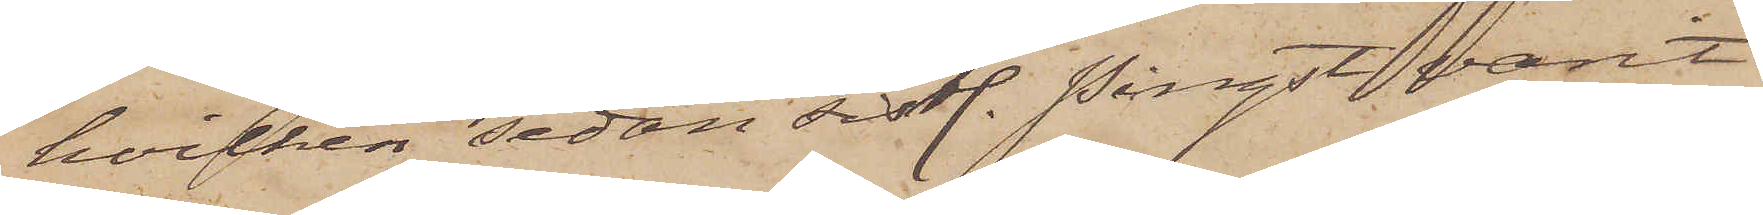hvilken sedan sistl. Pingst varit
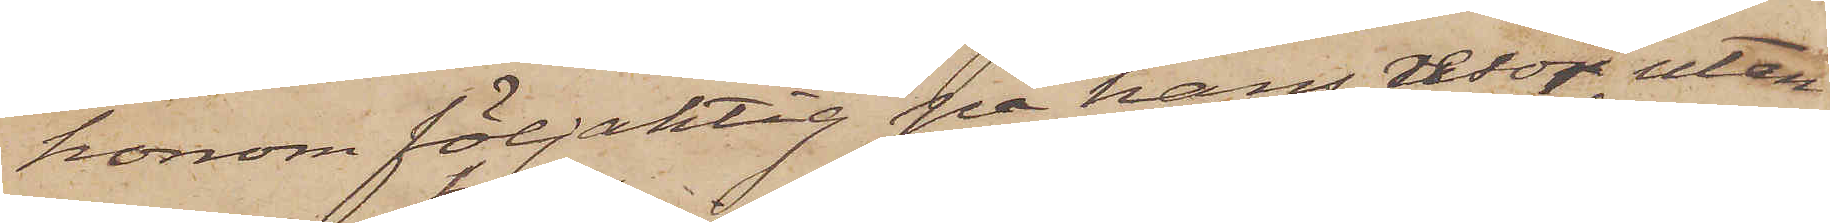honom följaktig på hans resor, utan
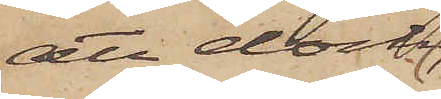att dock
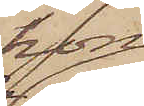hon
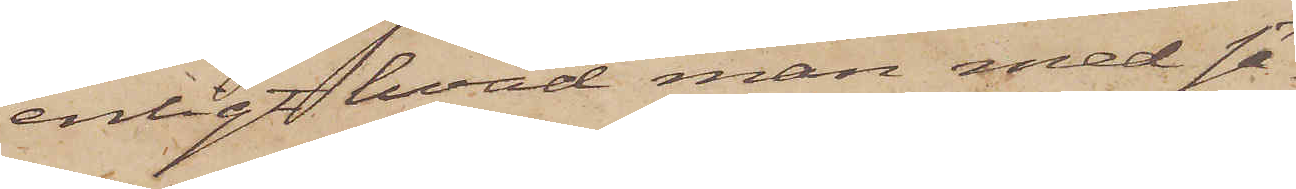enligt hvad man med sä¬
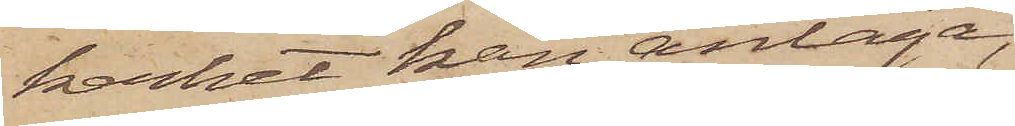kerhet kan antaga,
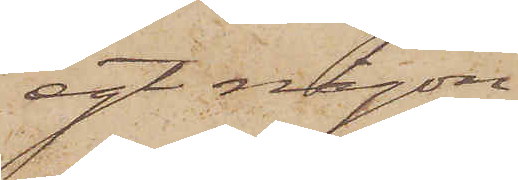egt någon
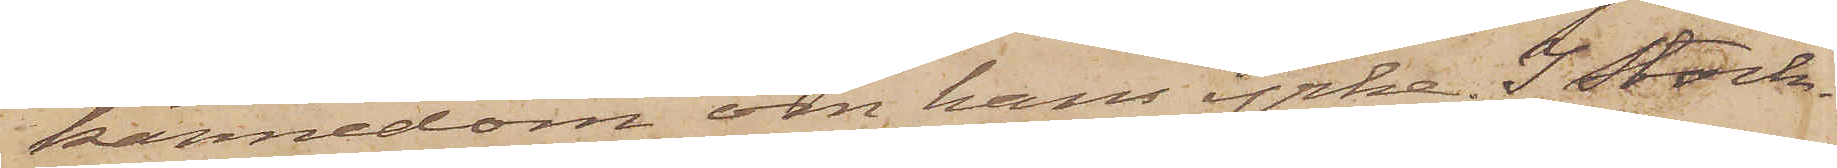kännedom om hans yrke. I Stock¬
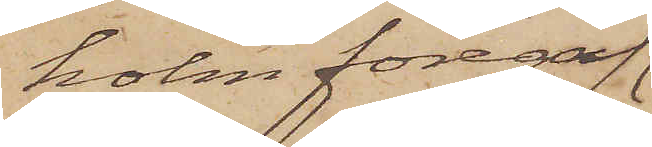holm föregaf
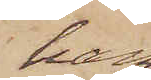han
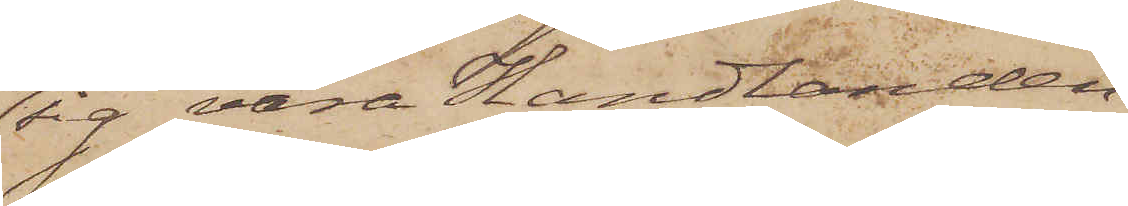sig vara Handlanden
